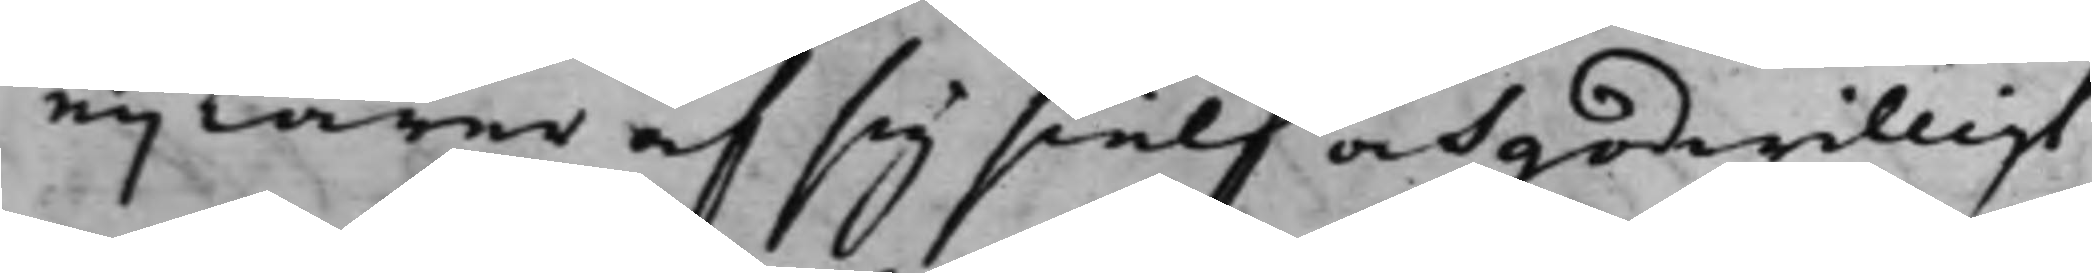ej lärer och sig sielf och godwilligt,
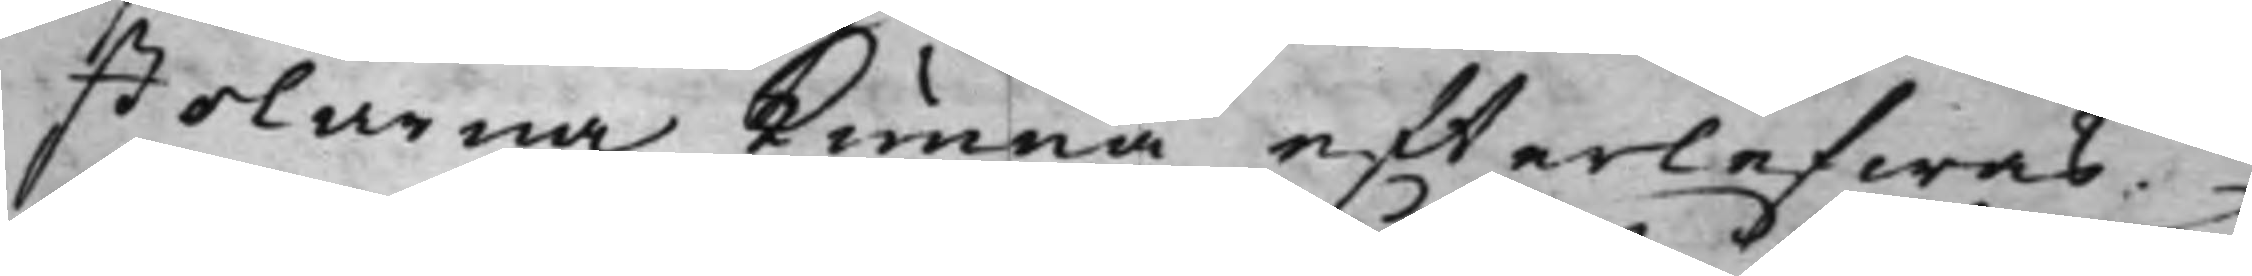tolarna kunna effterlefwas.
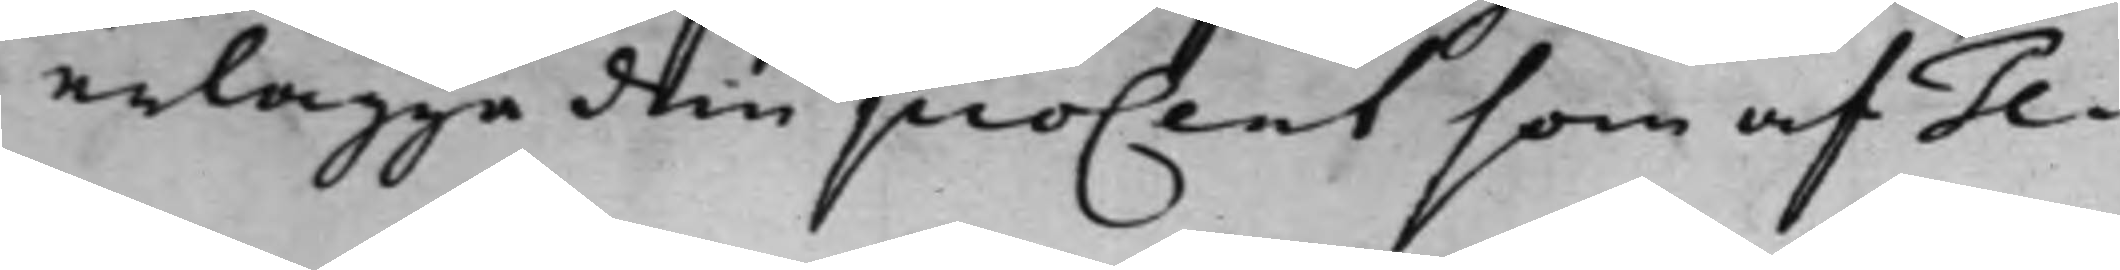erlägge den posent som af Ge¬
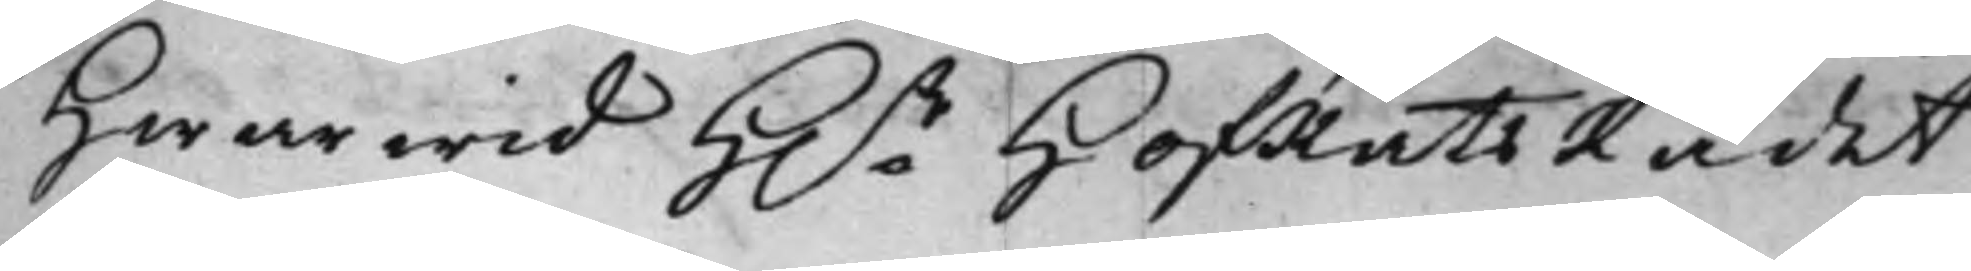Hwarwid H.r HofRättsRådet, 
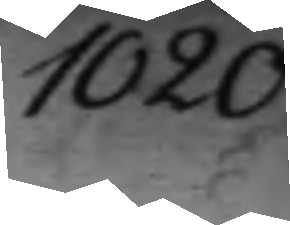1020.
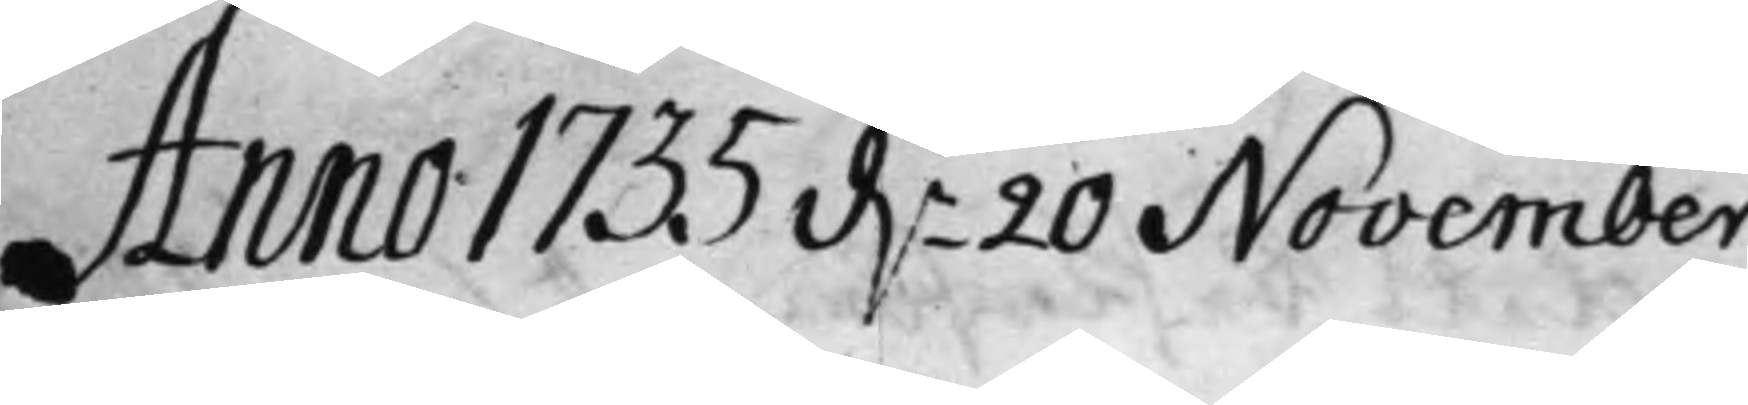Anno 1735 d. 20 November
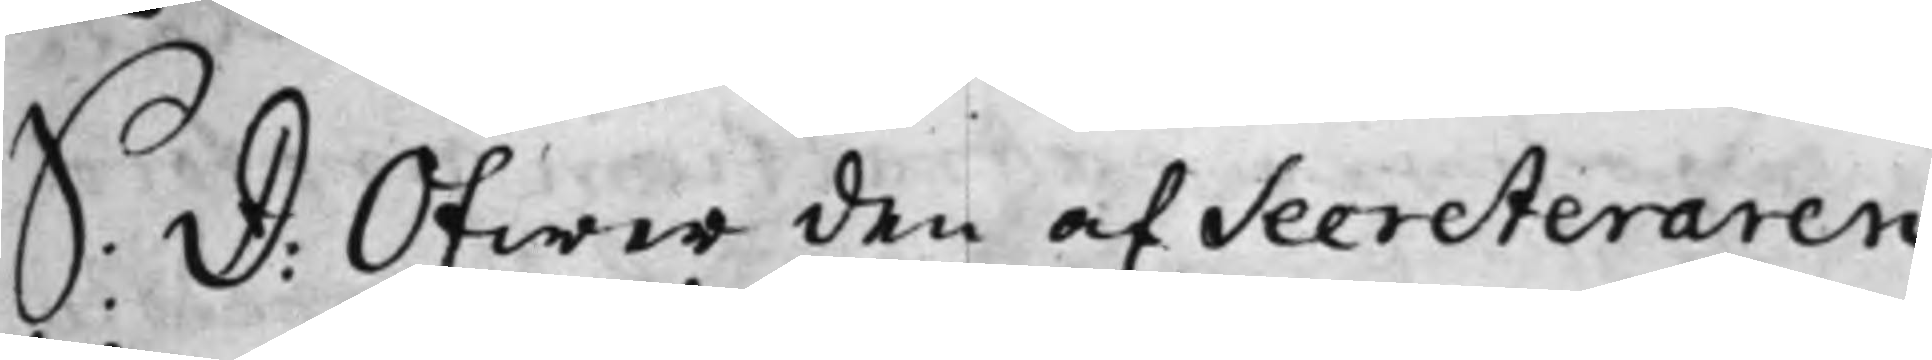S: D: Öfwer den af Secreteraren
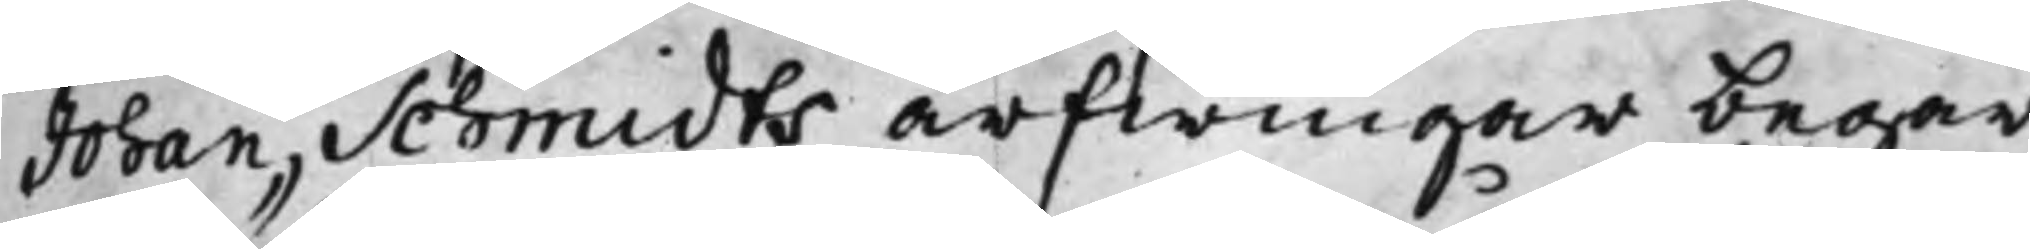Johan Schmidts arfwingar begär¬
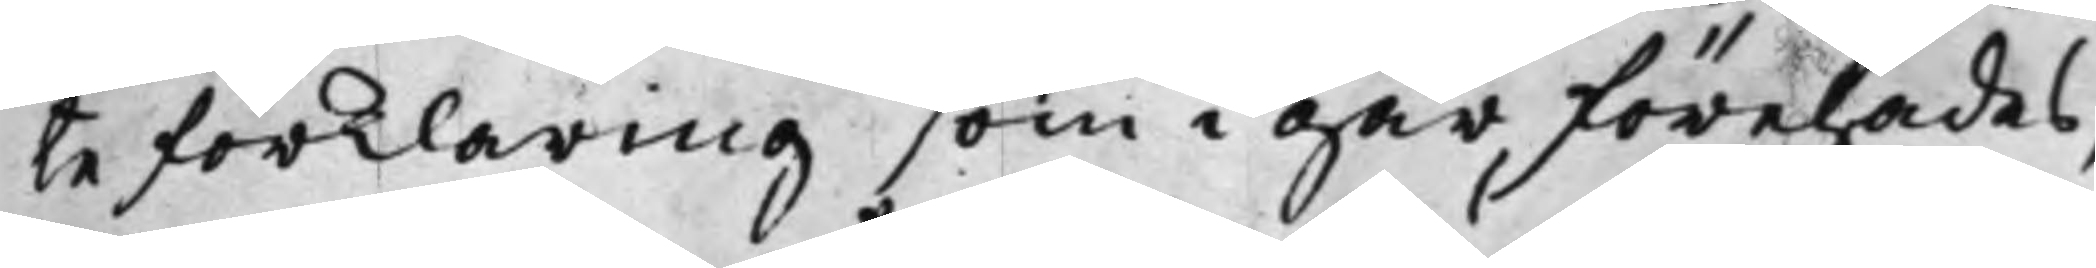 te förklaring som i går förehades,
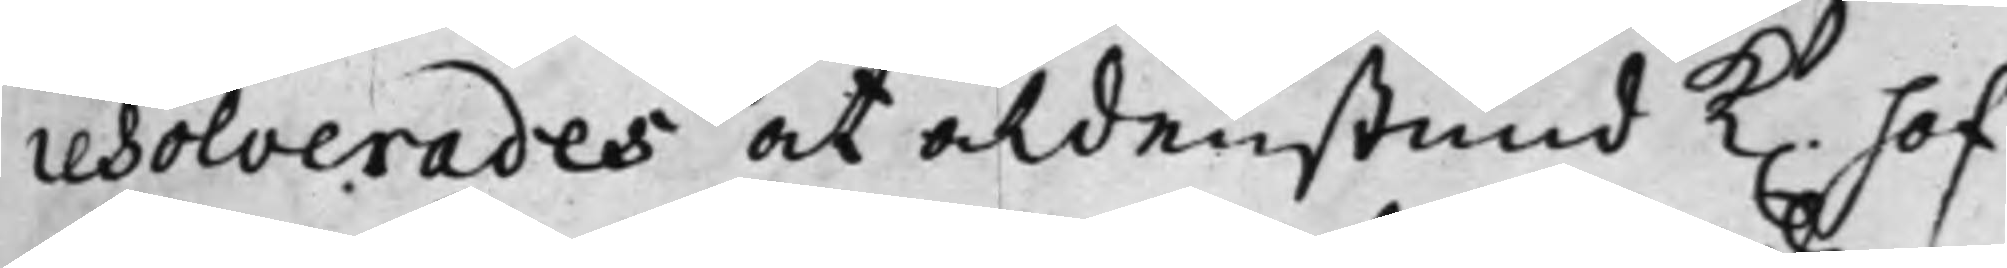resolverades at aldenstund K. Hof¬
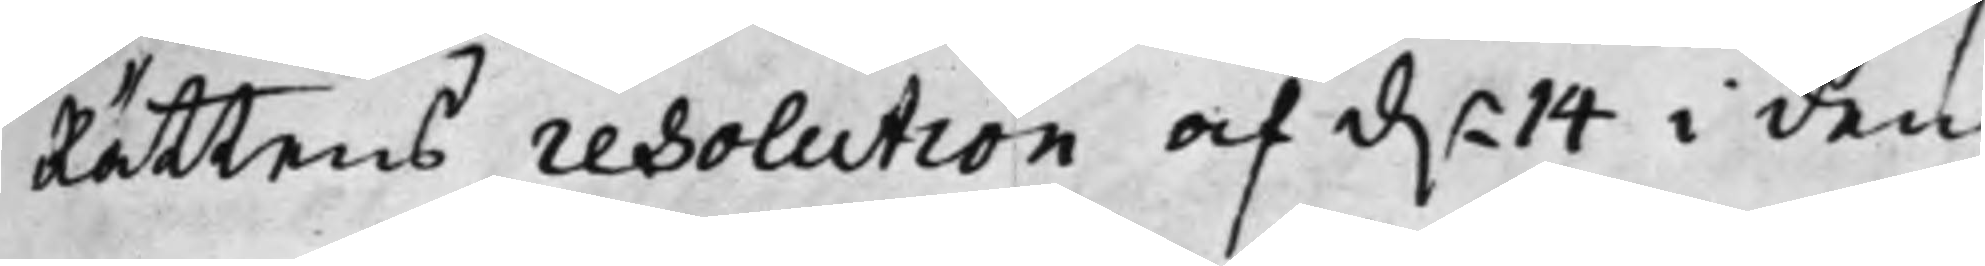Rättens resolution af d. 14 i den¬
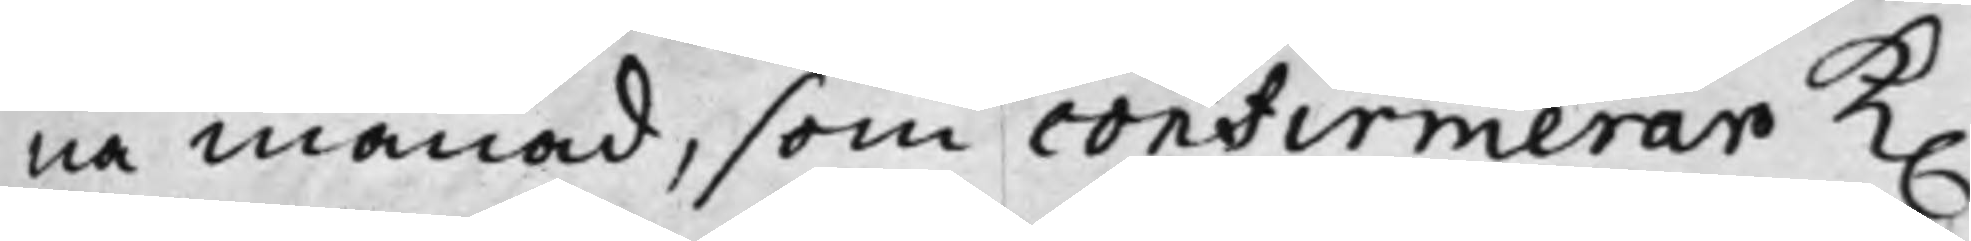na månad, som confirmerar K.
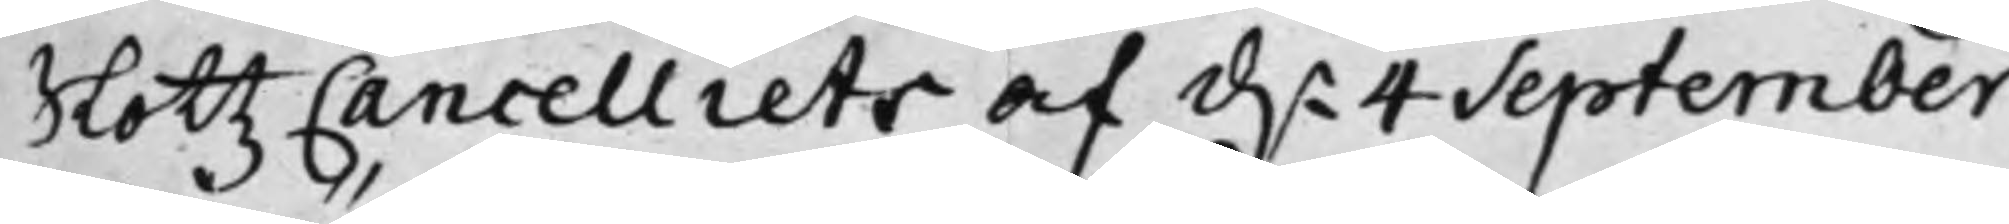SlottzCancelliets af d. 4 September
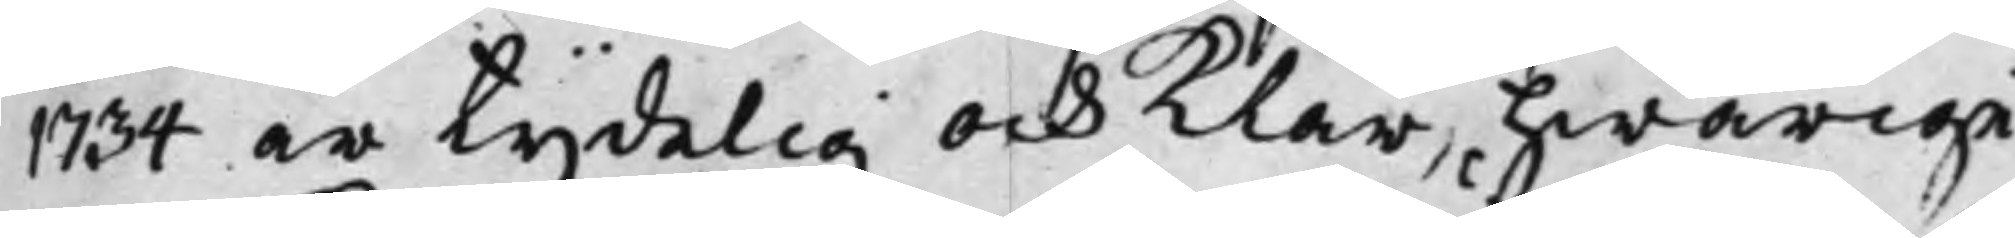1734 är tydelig och klar, hwarige¬
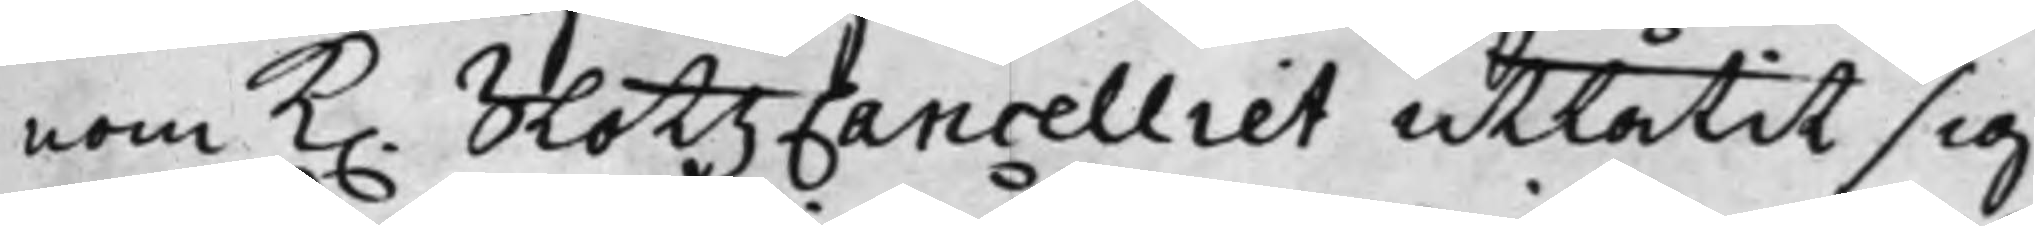nom K. SlottzCancelliet utlåtit sig
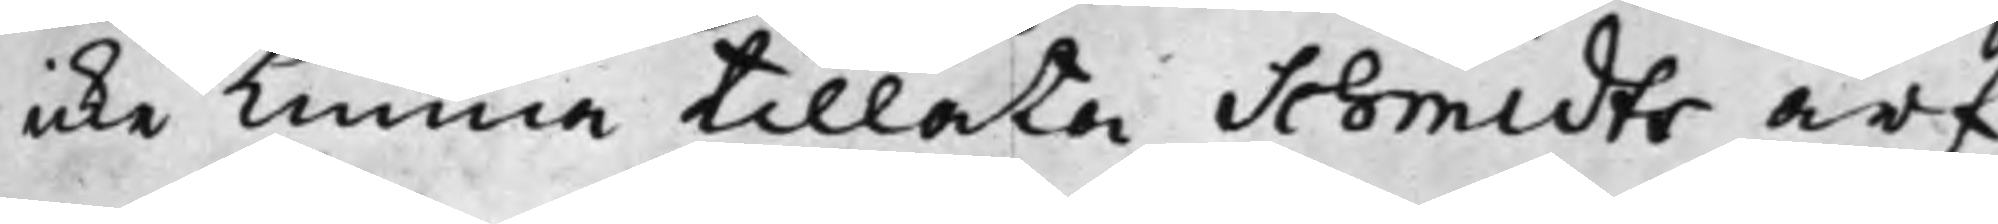icke kunna tillåta Schmidts arf¬
